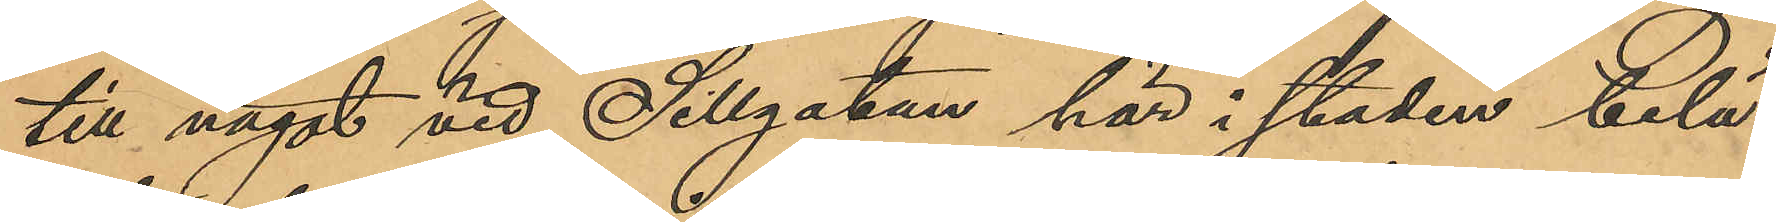till något vid Sillgatan här i staden belä¬
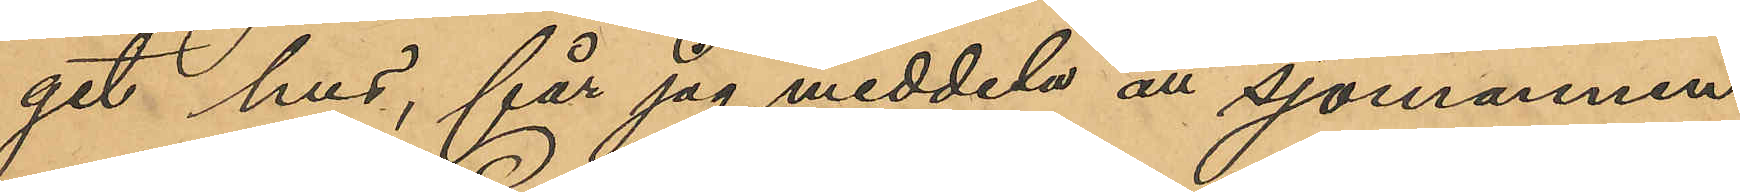get hus, får jag meddela att sjömannen
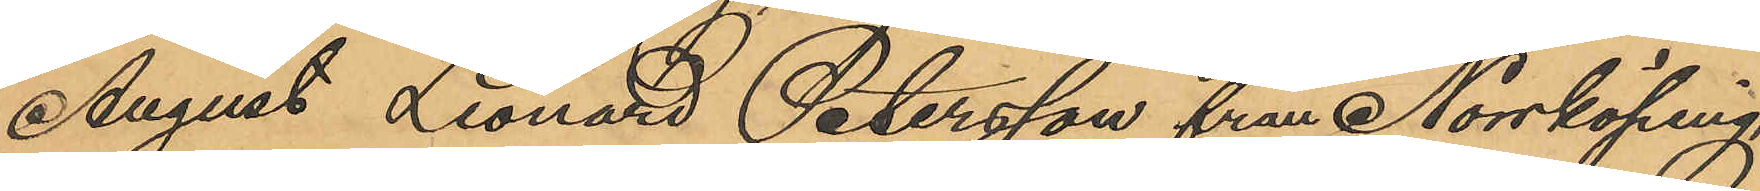August Leonard Petersson från Norrköping
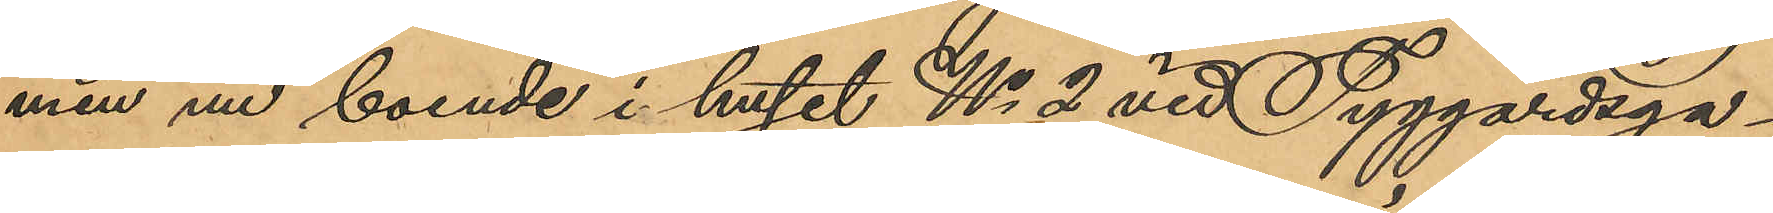men nu boende i huset No 2 vid Tyggårdsga¬
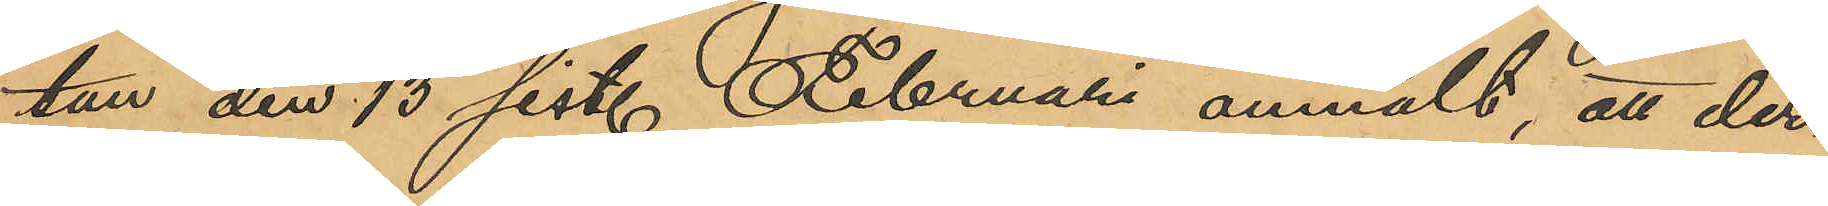tan den 13 sist. Februari anmält, att der¬
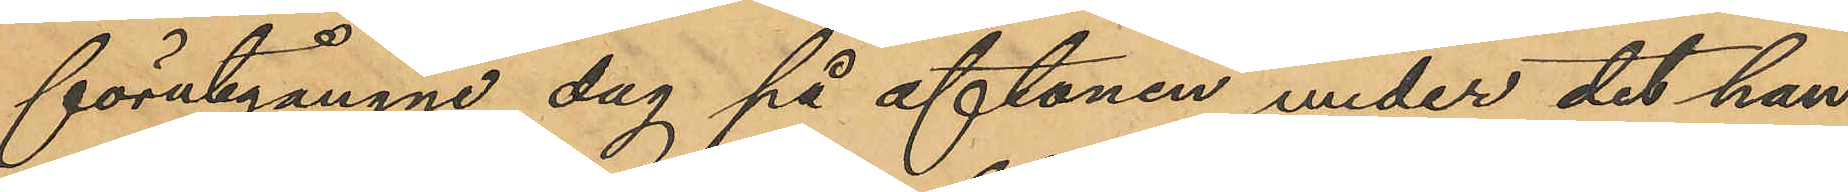förutgångne dag på aftonen under det han
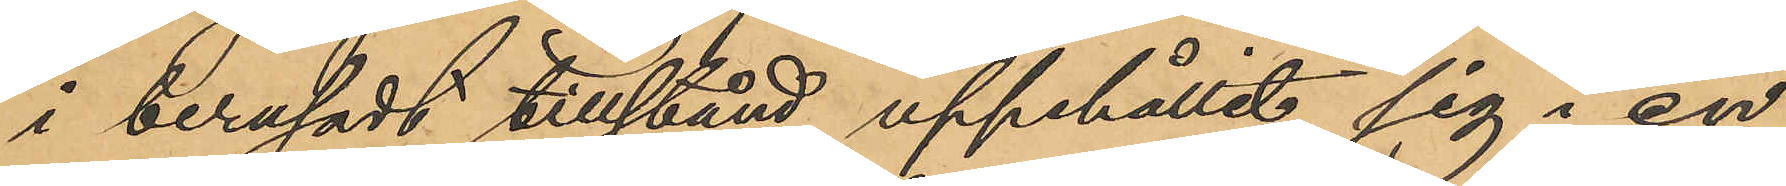i berusadt tilltånd uppehållit sig i en
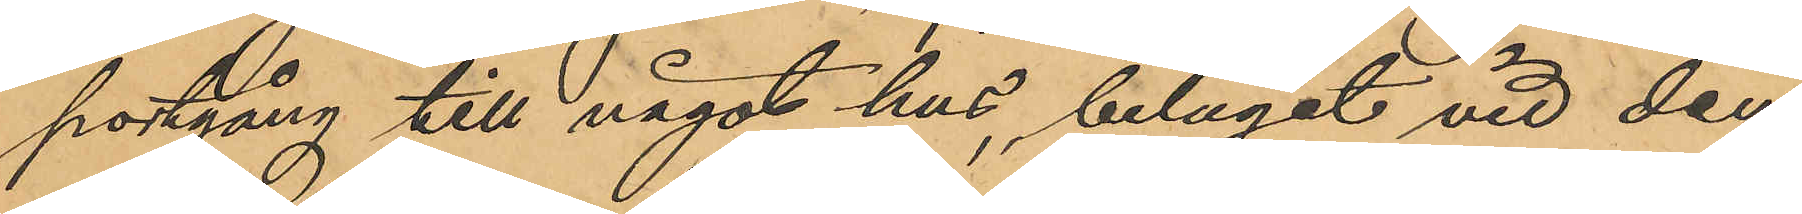portgång till något hus, beläget vid den
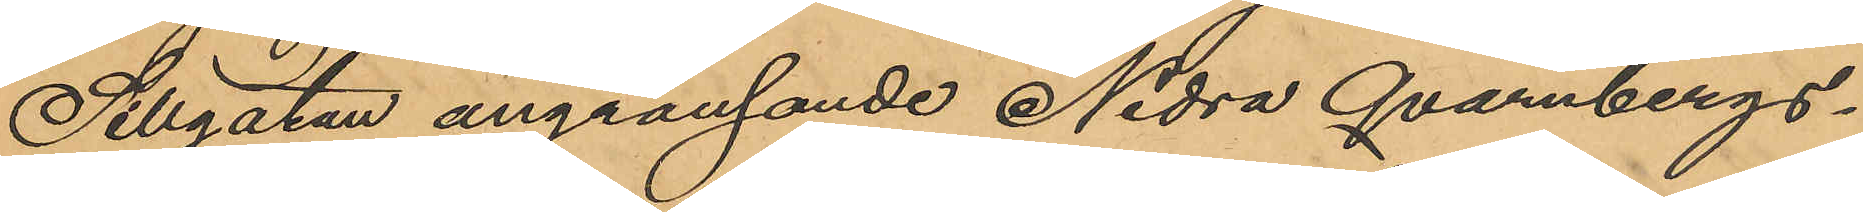Sillgatan angränsande Nedra Qvarnbergs¬
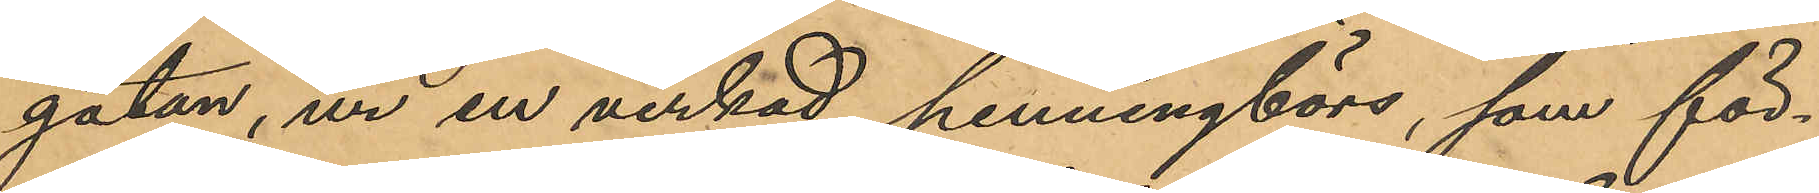gatan, ur en virkad penningbörs, som för¬
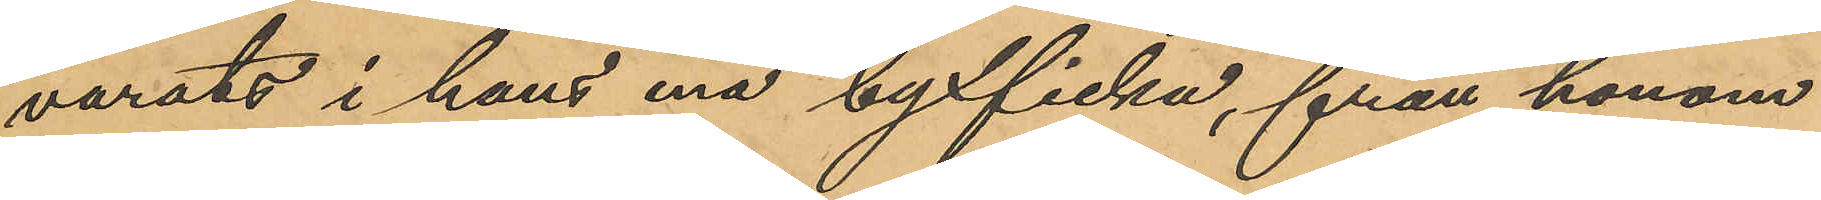varats i hans ena byxficka, från honom
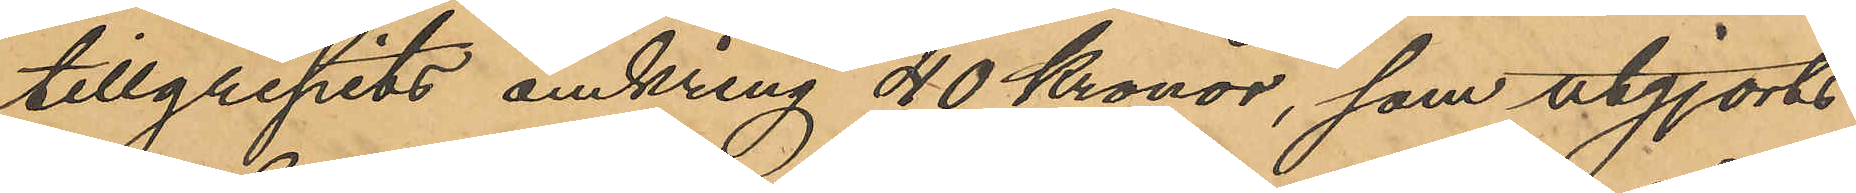tillgripits omkring 40 Kronor, som utgjorts
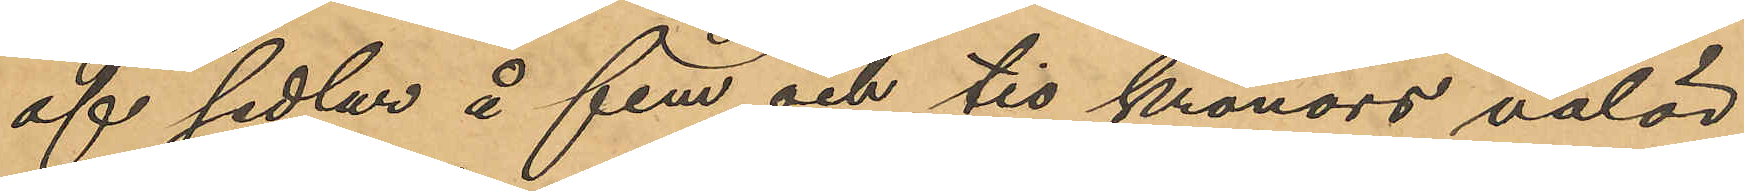af sedlar å fem och tio kronors valör
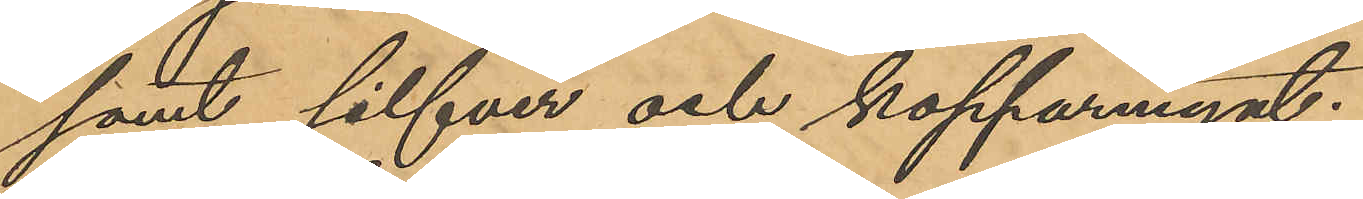samt silfver och kopparmynt.
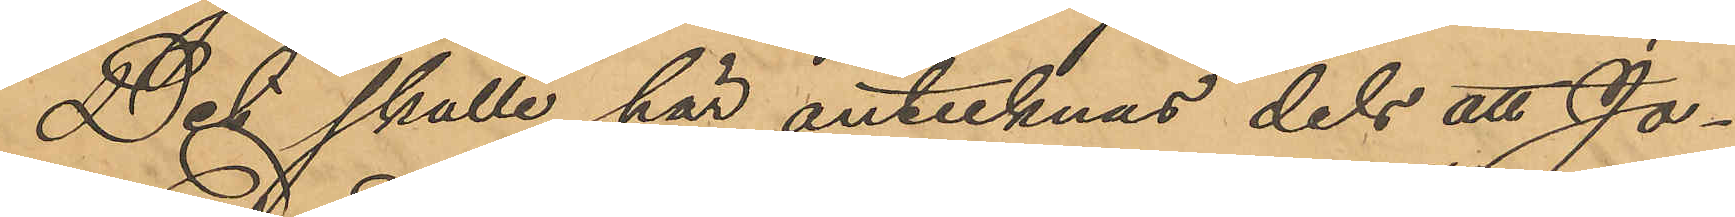Det skulle här antecknas dels att Jo¬
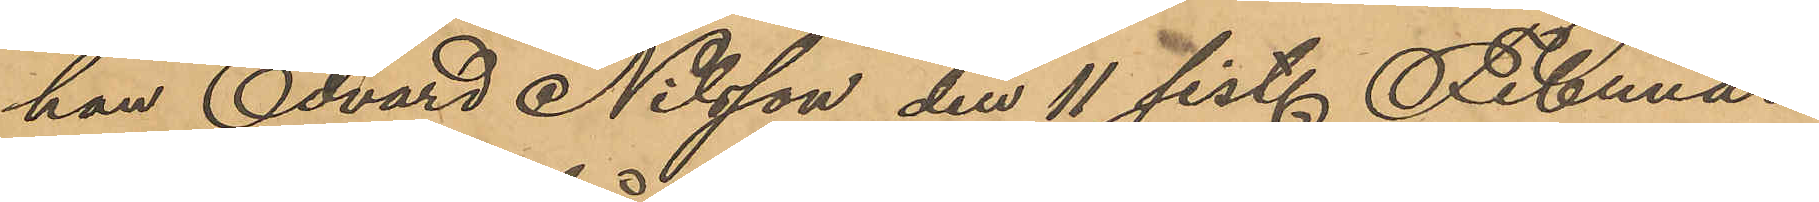han Edvard Nilsson den 11 sist. Februari
